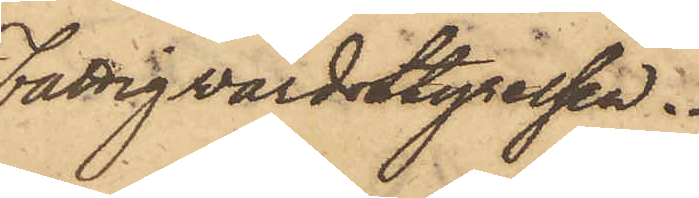Fattigvårdsstyrelsen.
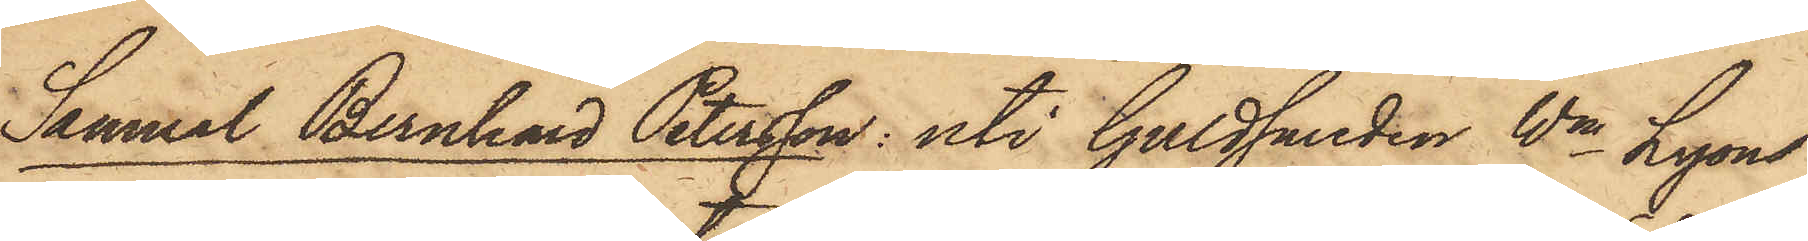Samuel Bernhard Petersson: uti Guldsmeden Wm Lyons
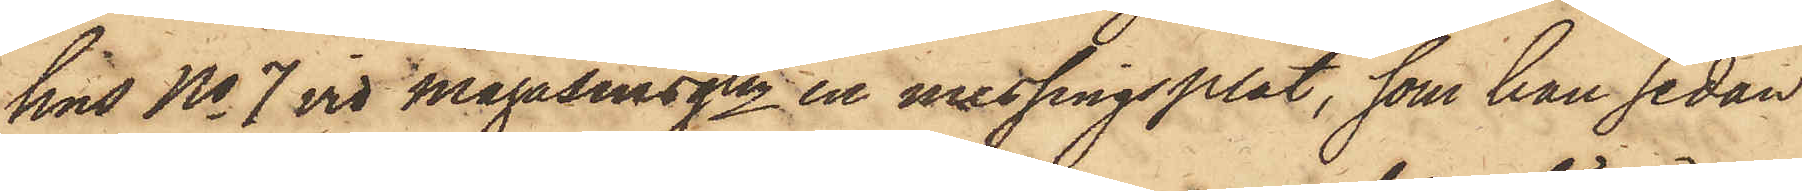hus No 7 vid Magasinsgtn en messingsplåt, som han sedan
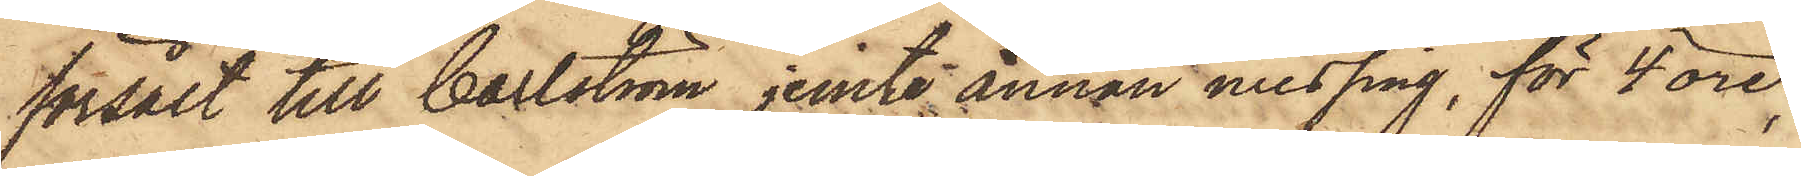försålt till Carlström jemte annan messing, för 4 öre;
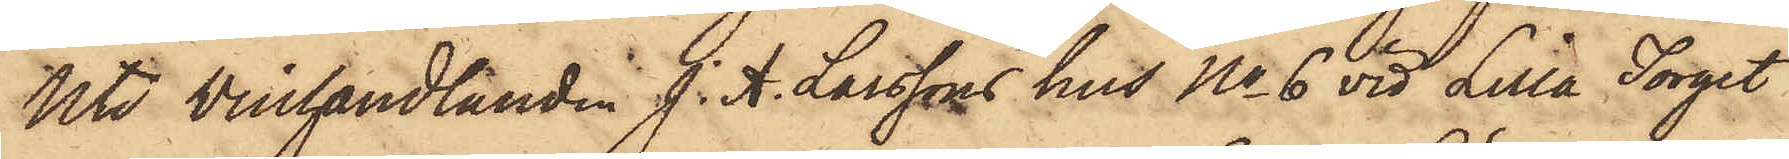Uti Winhandlanden J. A. Larssons hus No 6 vid Lilla Torget
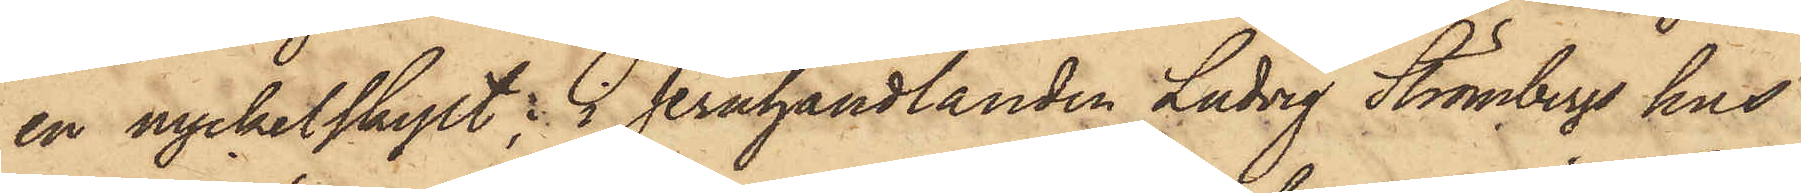en nyckelskylt; i Jernhandlanden Ludvig Strömbergs hus
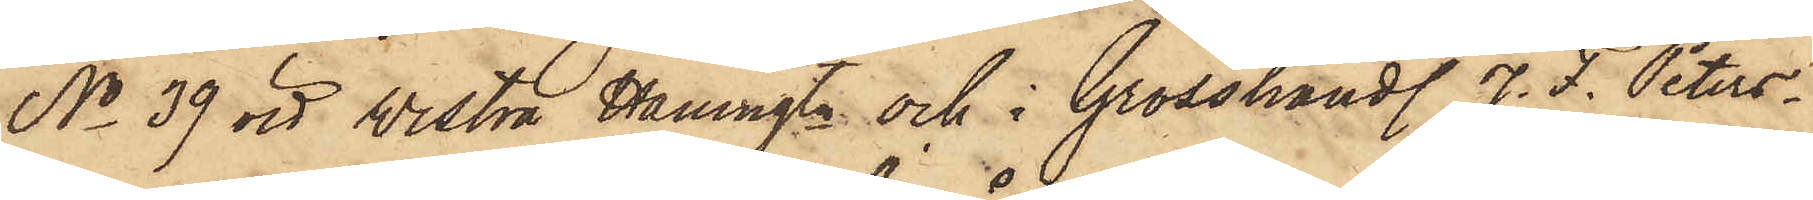No 39 vid Westra Hamngtn och i Grosshandl. J. F. Peters¬
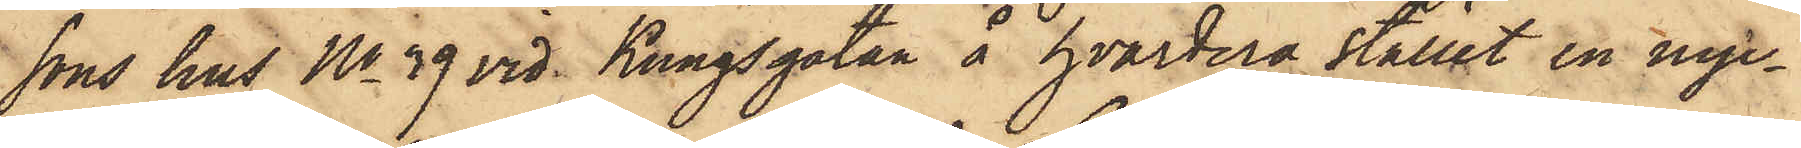sons hus No 39 vid Kungsgatan å hvardera stället en nyc¬
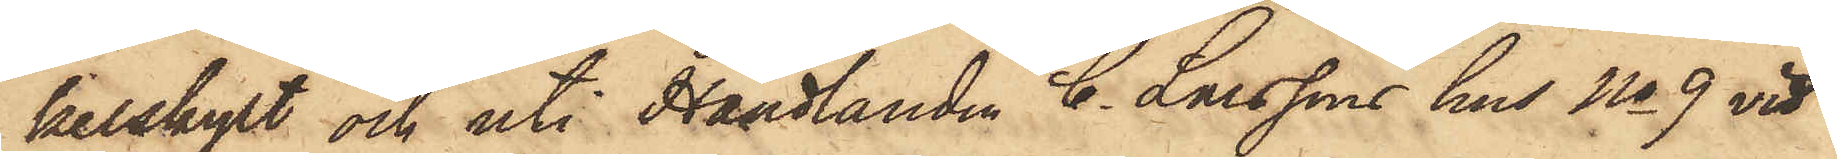kelskylt och uti Handlanden C. Larssons hus No 9 vid
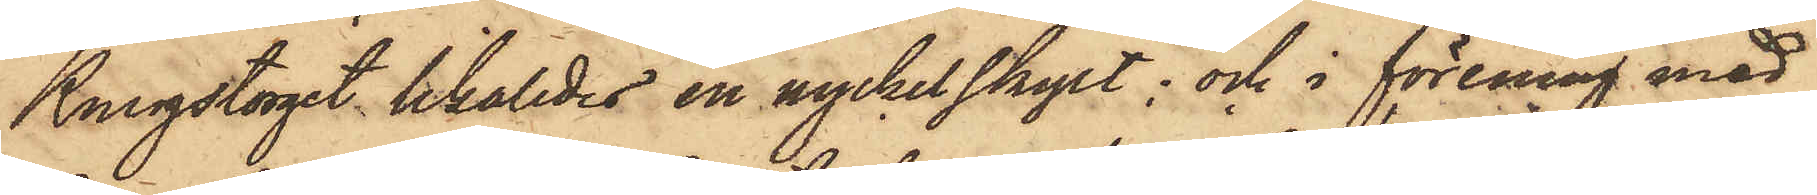Kungstorget likaledes en nyckelskylt; och i förening med
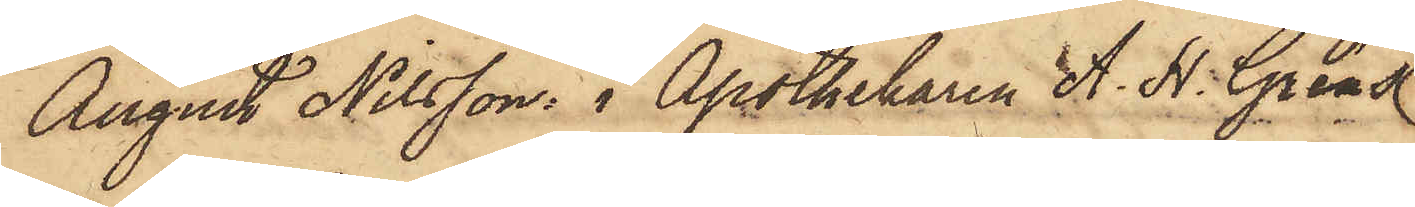August Nilsson i Apothekaren A. N. Grens
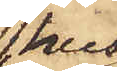hus
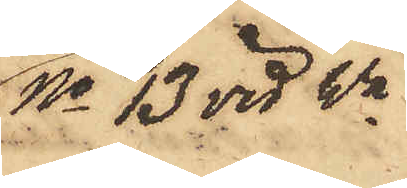No 13 vid Wa
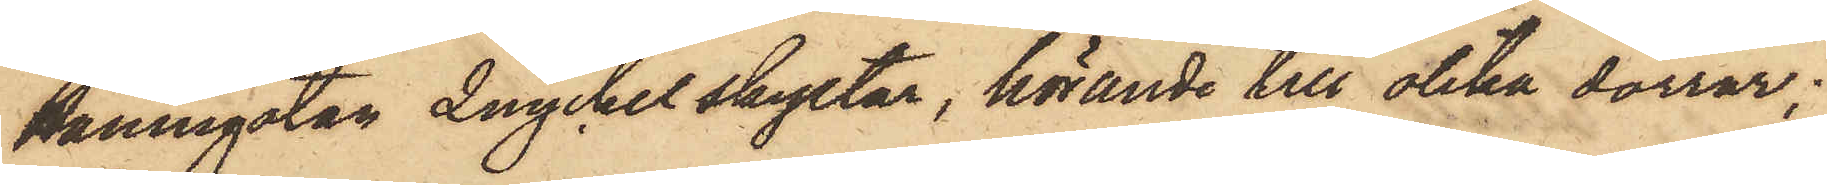Hamngatan 2 nyckelskyltar, hörande till olika dörrar;
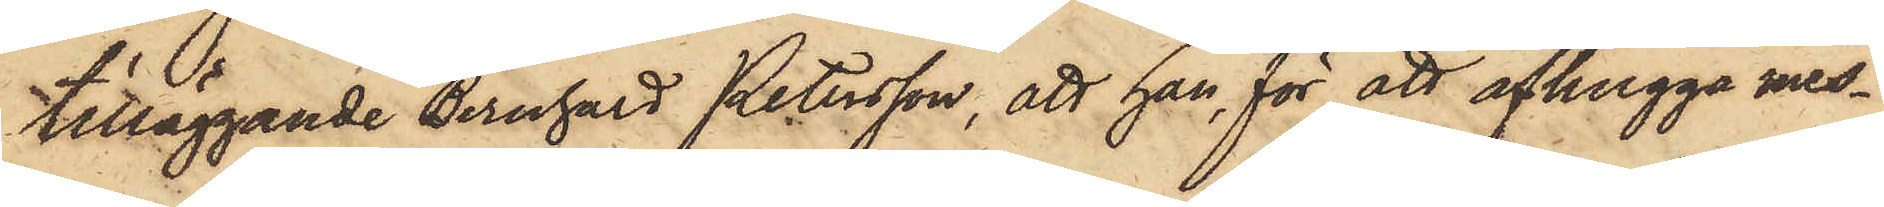tilläggande Bernhard Petersson, att han för att afhugga mes¬
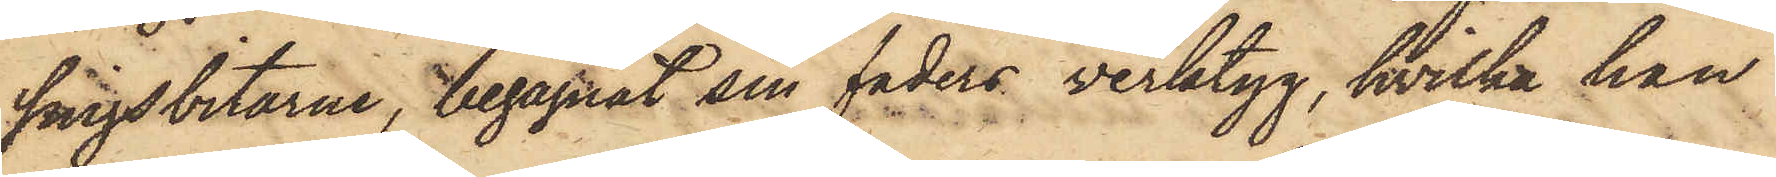singsbitarne, begagnat sin faders verktyg, hvilka han
